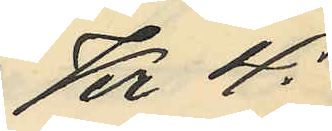Kr 4:
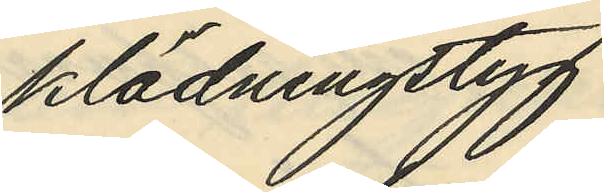klädningstyg
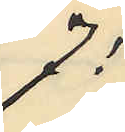7:
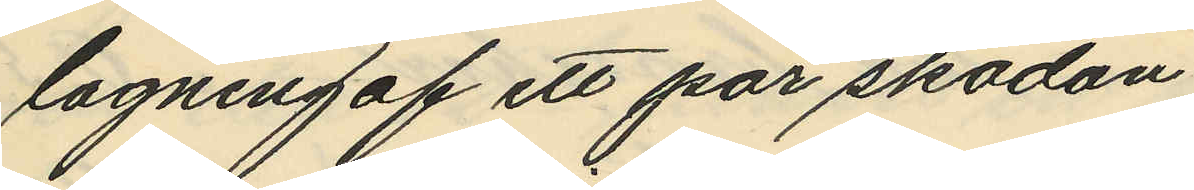lagning af ett par skodon
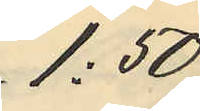1:50
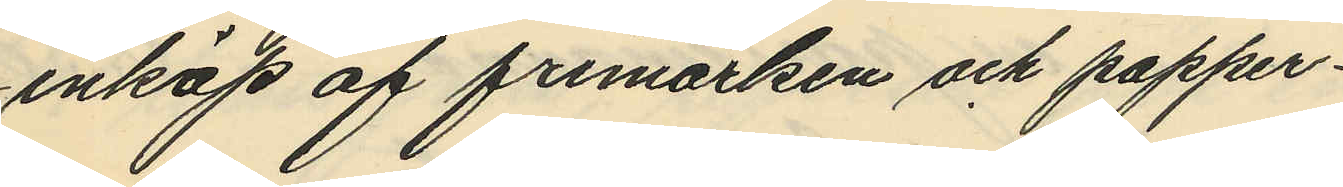inköp af frimärken och papper
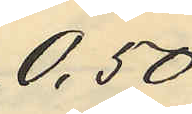0,50
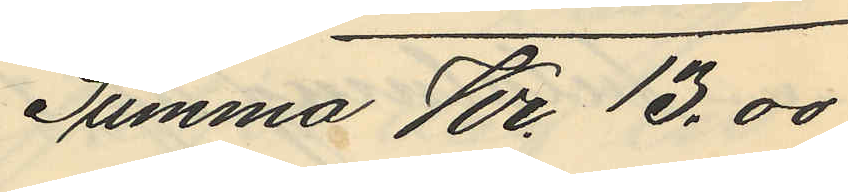Summa Kr. 13.00
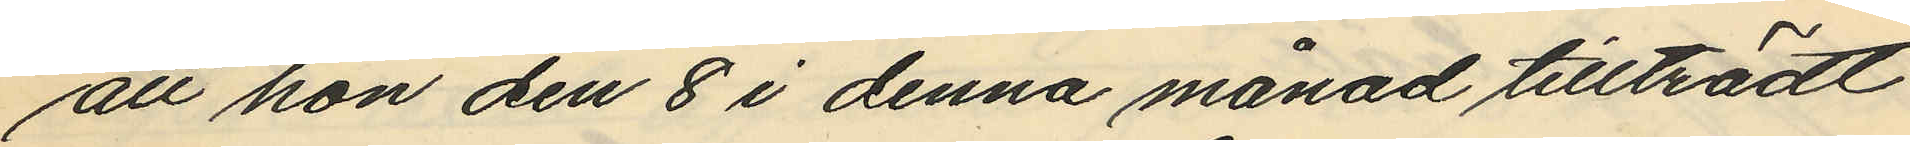att hon den 8 i denna månad tillträdt
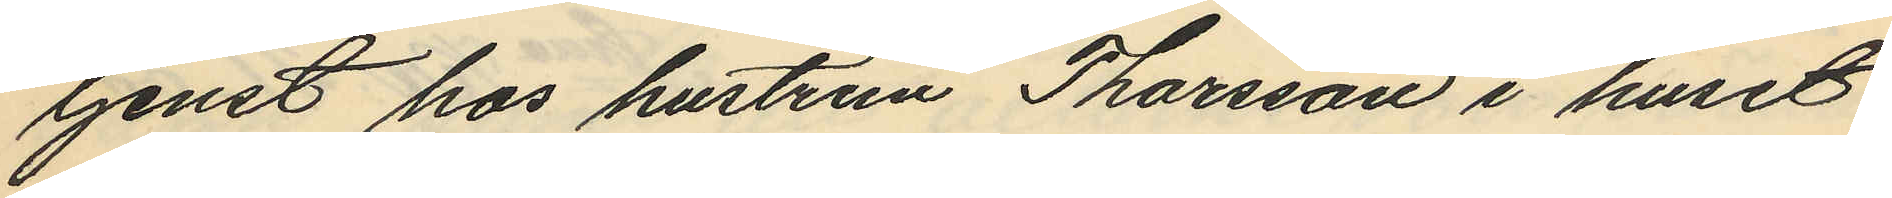tjenst hos hustrun Thorsson i huset
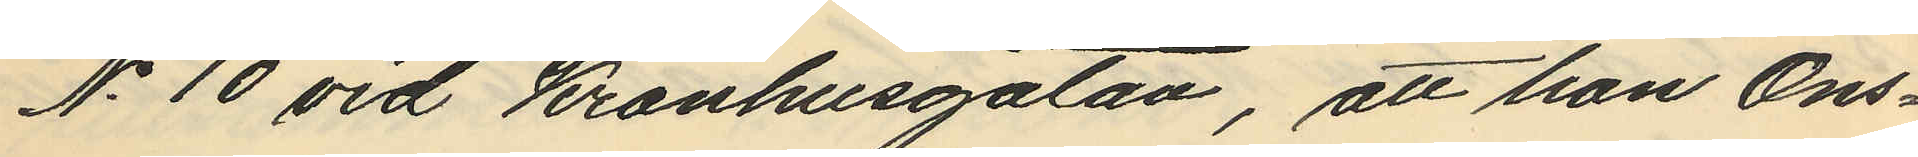No 10 vid Kronhusgatan, att hon Ons¬
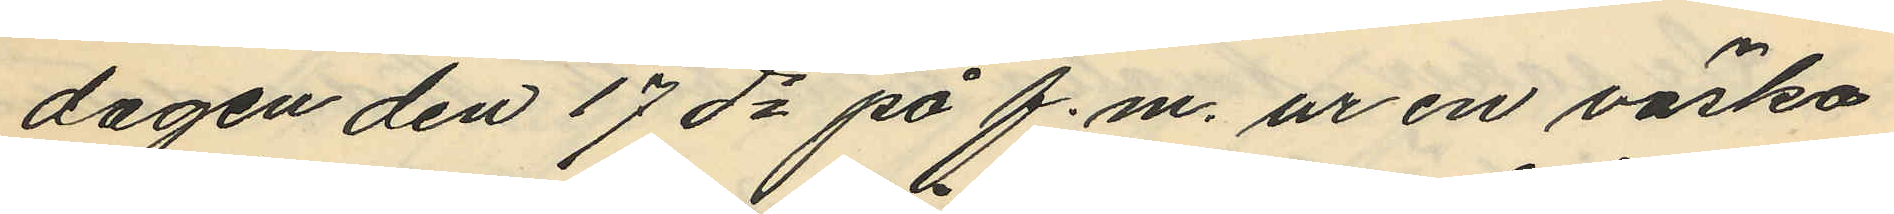dagen den 17de på f.m. ur en väska
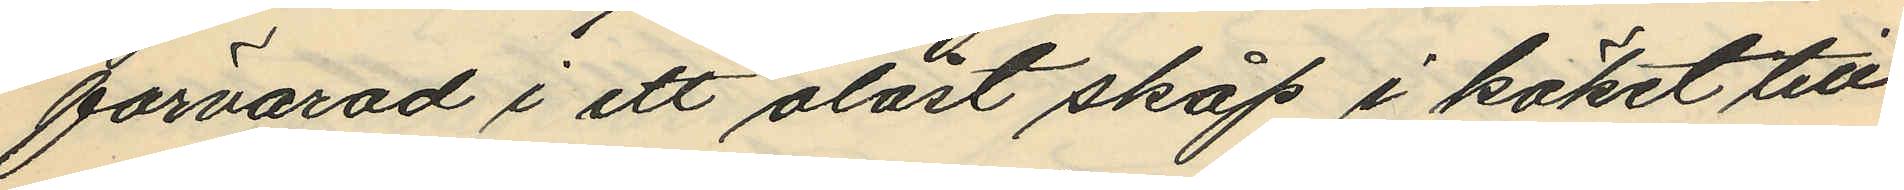förvarad i ett olåst skåp i köket till
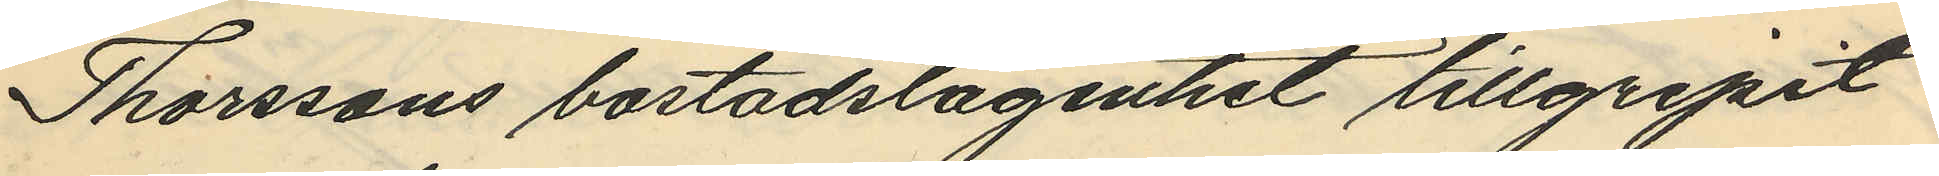Thorssons bostadslägenhet tillgripit
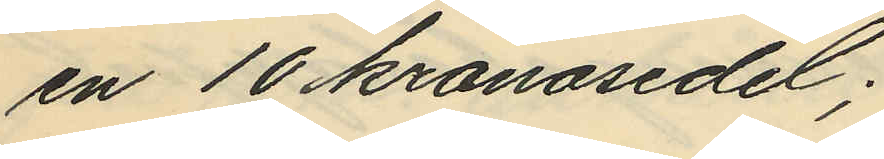en 10 kronosedel;
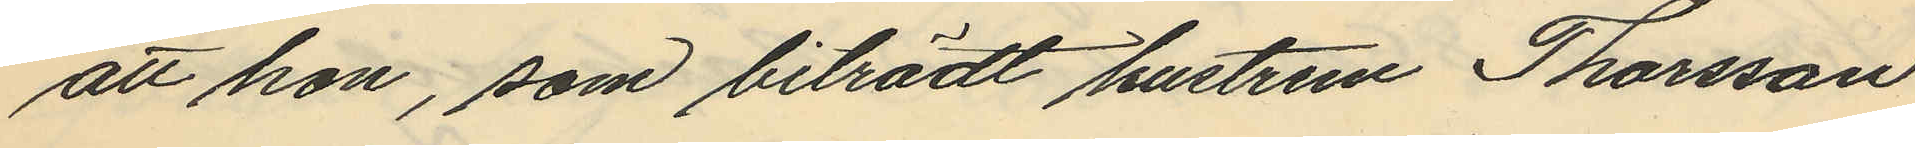att hon, som biträdt hustrun Thorsson
